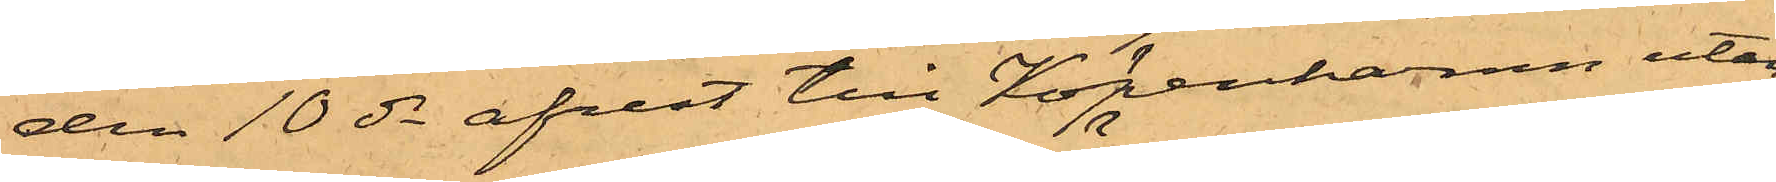den 10 ds afrest till Köpenhamn utan
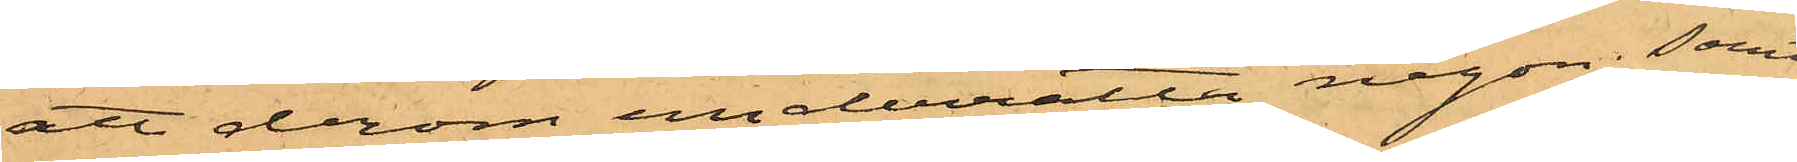att derom underrätta någon; samt
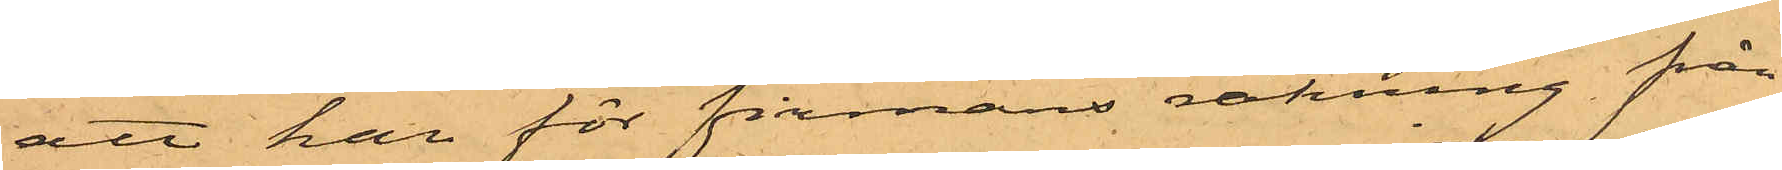att han för firmans räkning från
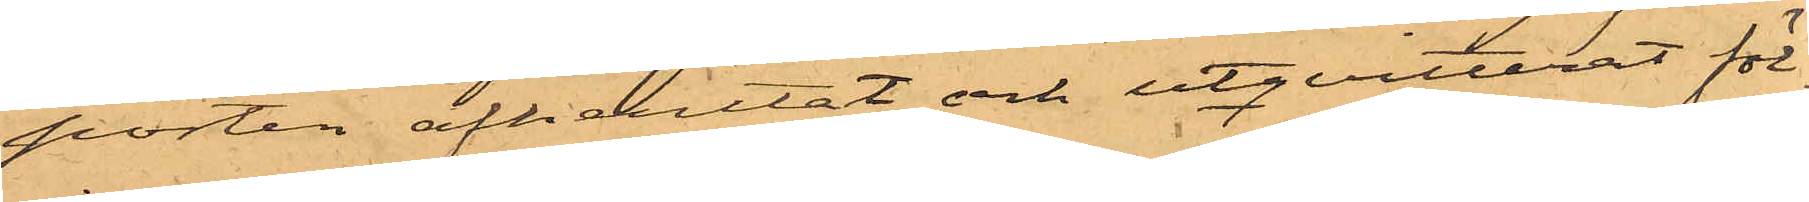porten afhemtat och utqvitterat föl¬
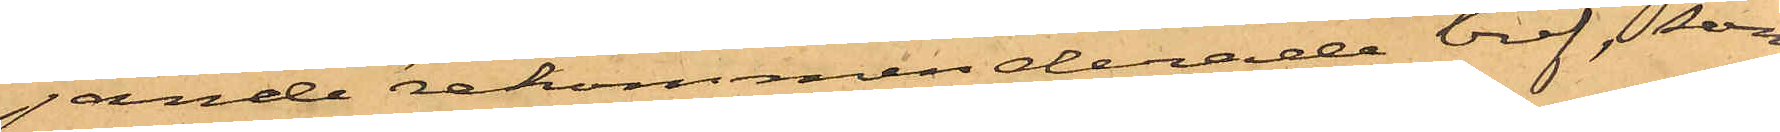jande rekommenderade bref, som
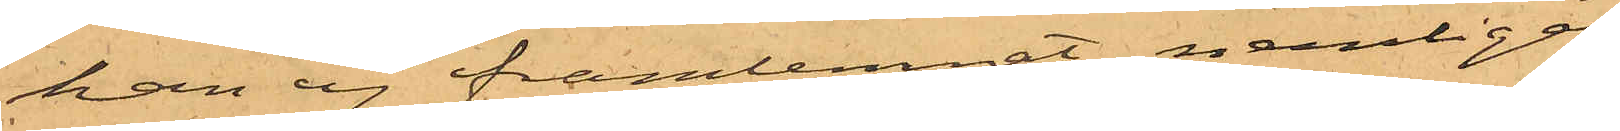han ej framlemnat nemligen
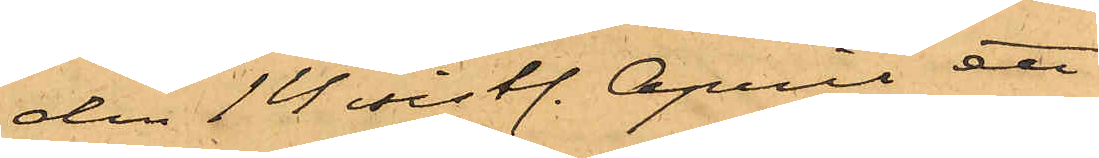den 14 sistl. April ett
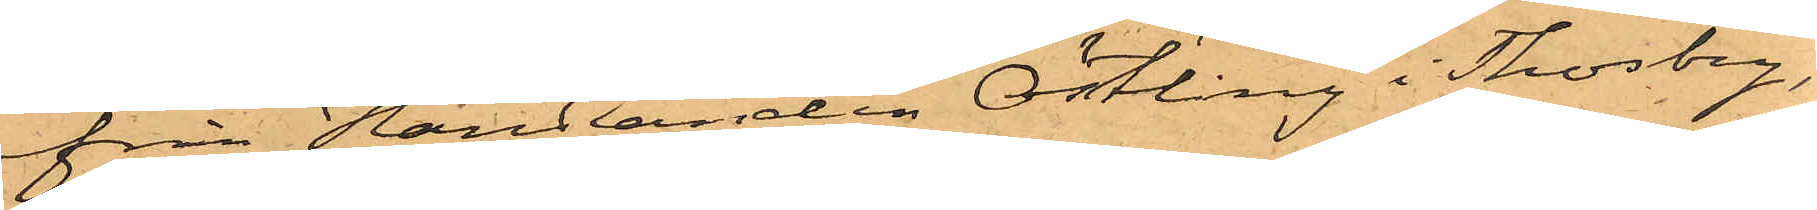från Handlanden Östling i Thosby,
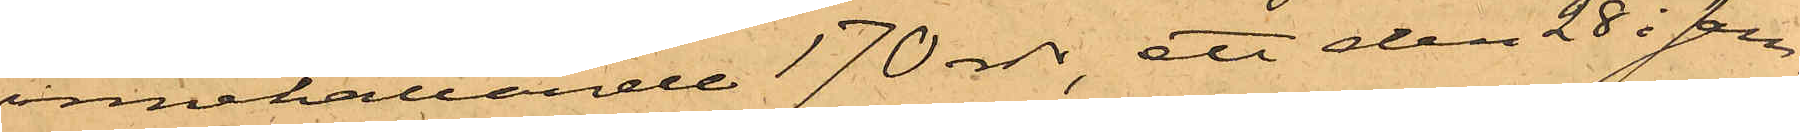innehållande 170 rdr, ett den 28 i sam¬
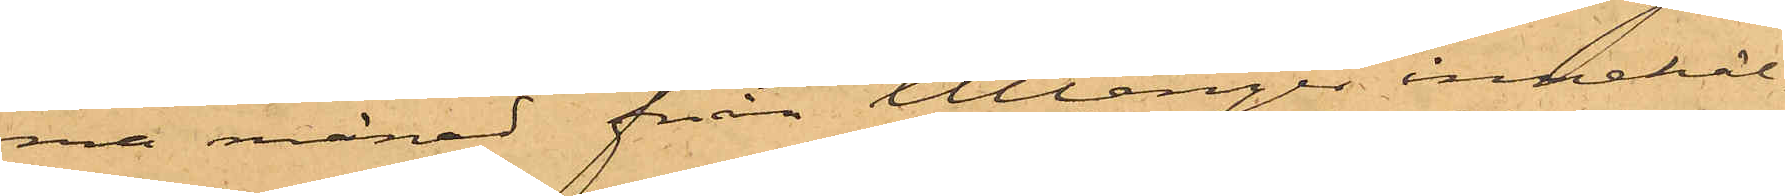ma månad från Ullånger innehål¬
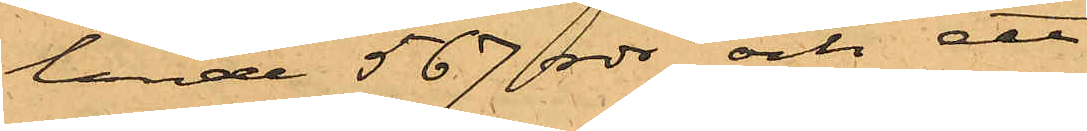lande 567 rdr och ett
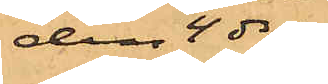den 4 ds
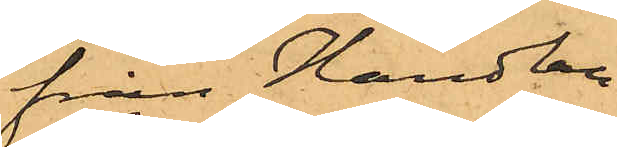från Handlan¬
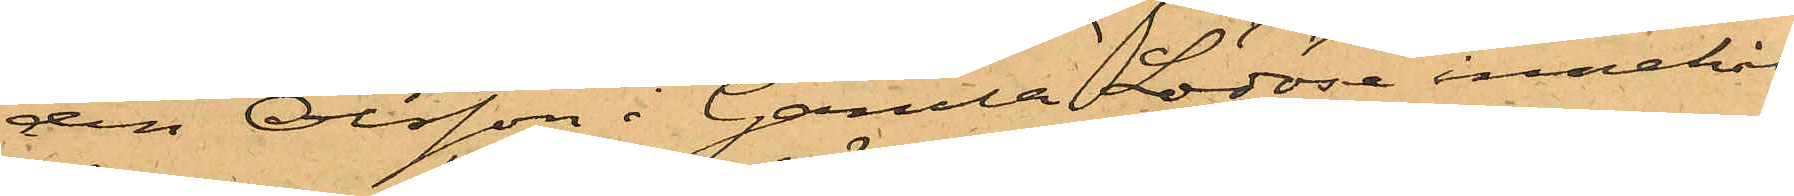den Olsson i Gamla Lödöse innehål¬
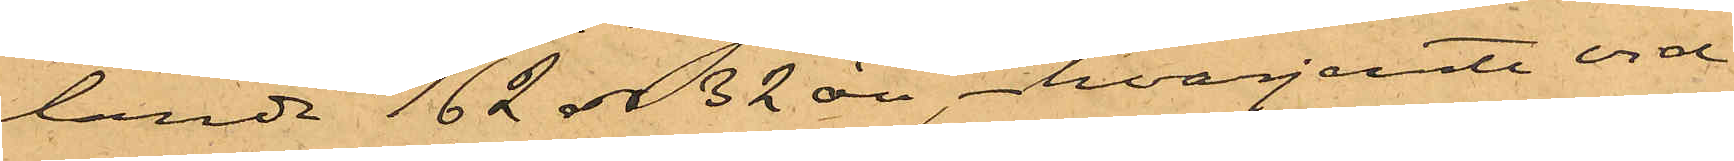lande 162 rdr 32 öre, hvarjemte vid
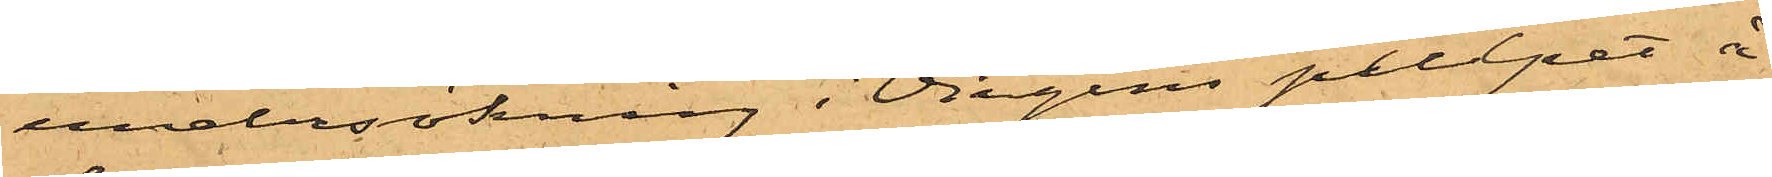undersökning i Virgins pulpet å
